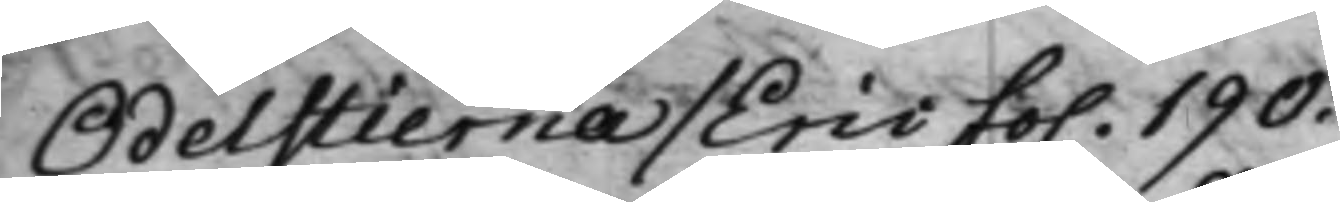Odelstierna / Eric fo. 190.
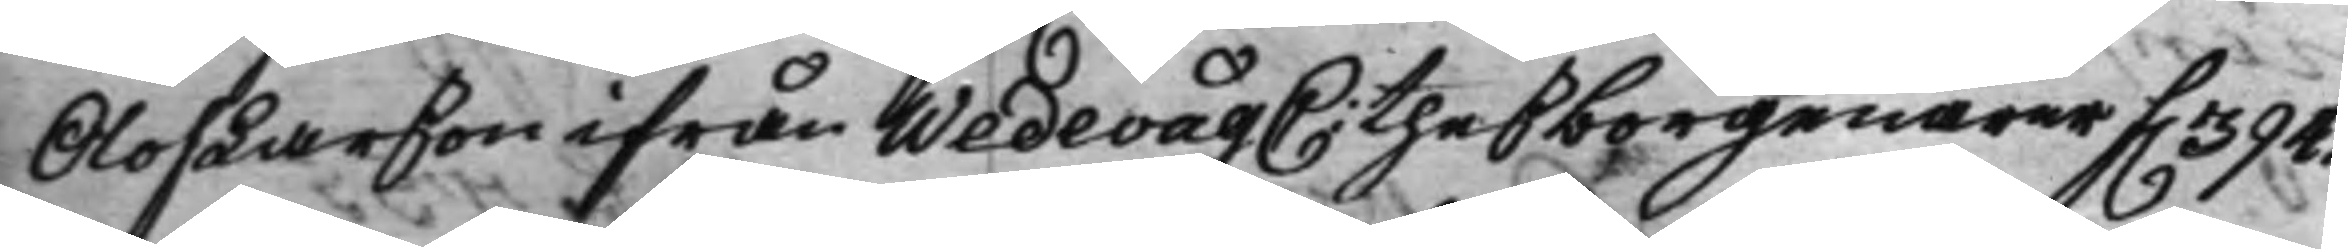Olof Larson ifrån Wedewåg C: theß borgenärer f. 394.
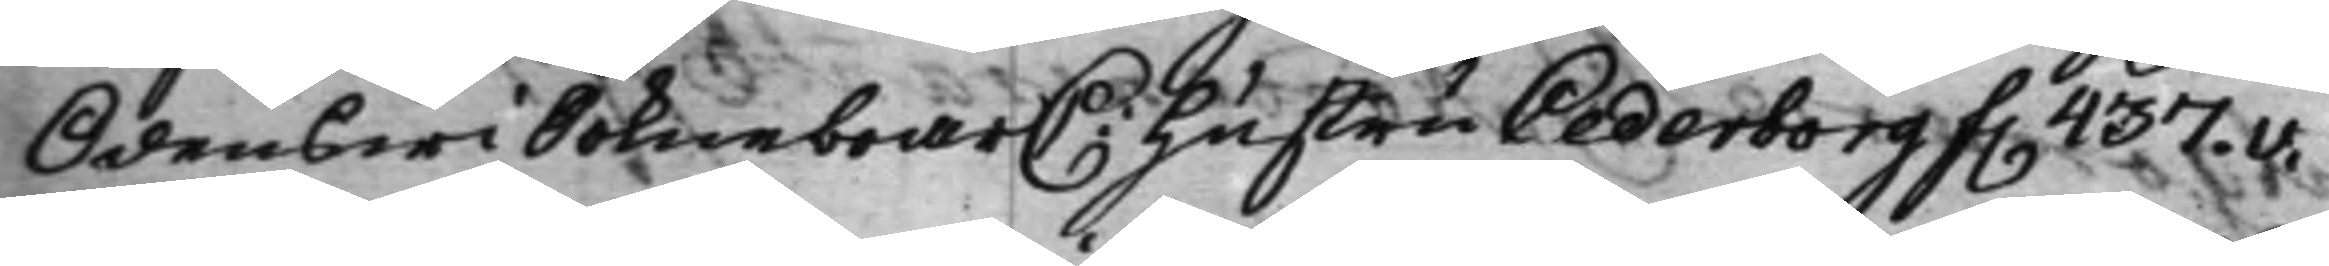Odenswi Sokneboar C: Hustru Cederborg f. 437.v.
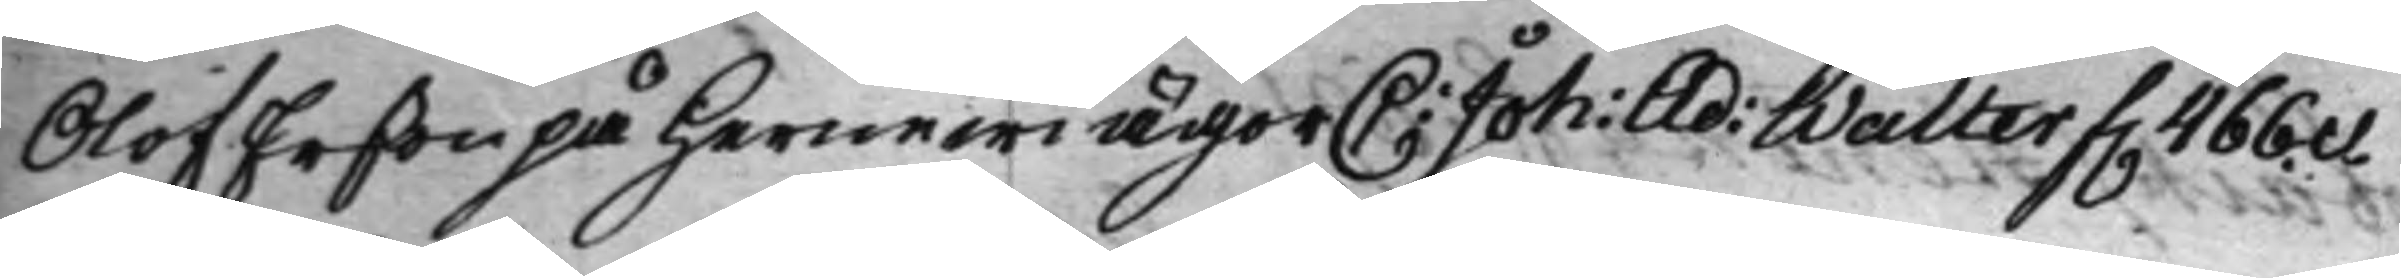Olof Erßon på Hernewi ägor C: Joh: Ad: Walter f. 466.v.
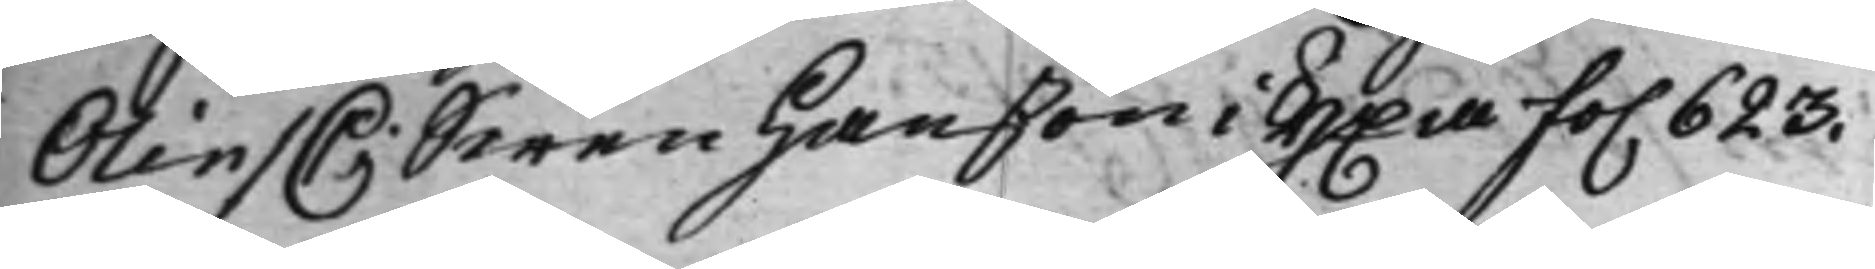Olin / C: Swen Hanßon i Yxa fo. 623.
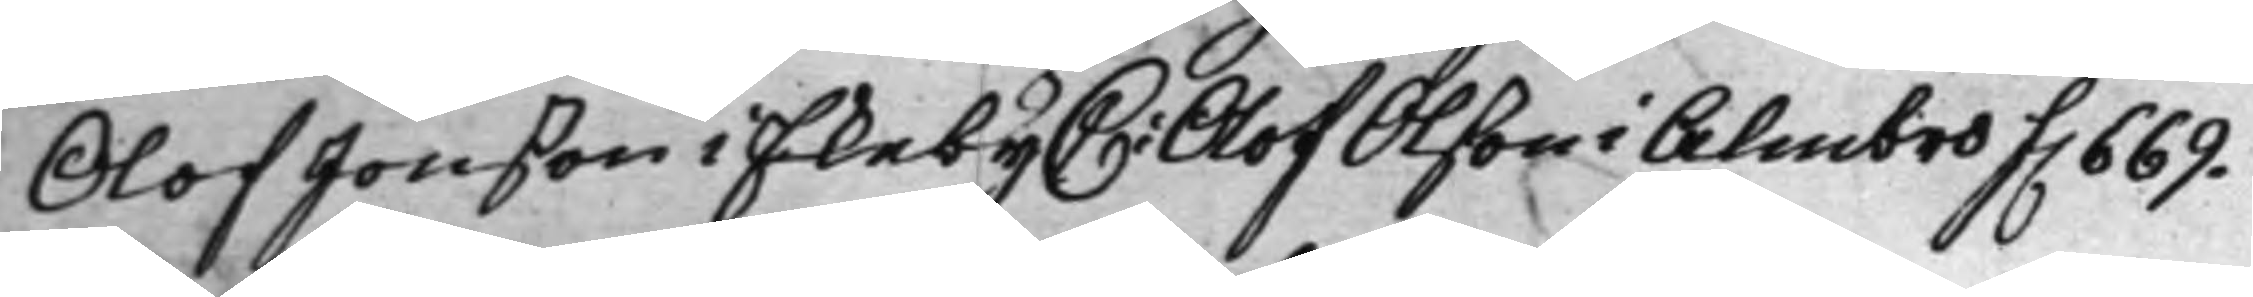Olof Jonßon i Ekeby C: Olof Olßon i Almbro f. 669.
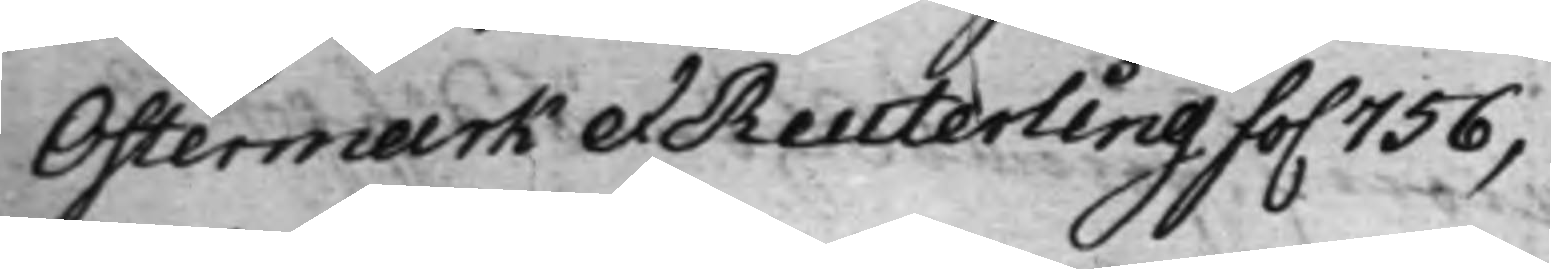Ostermark et Reuterling fo. 756,
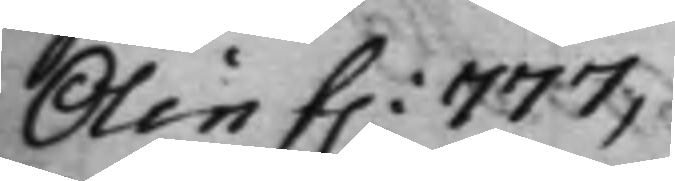Olin f. 777,
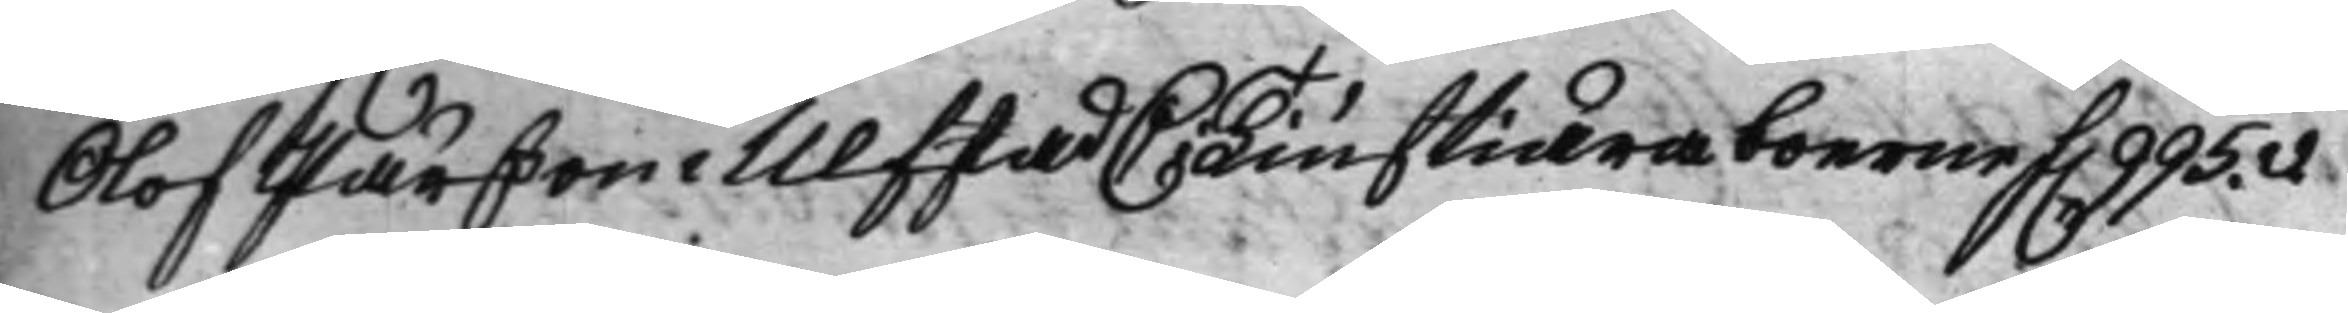Olof Pärßon i Ulfstad C: Tiuftiäraboerne f. 995.v.
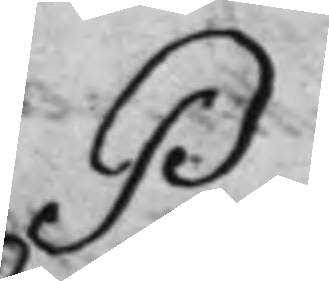P:
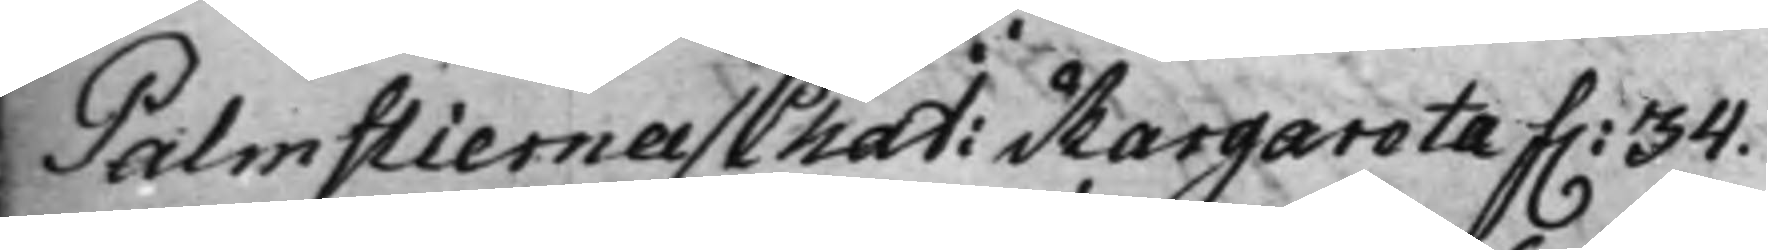Palmstierna / Chat: Margareta f. 34.
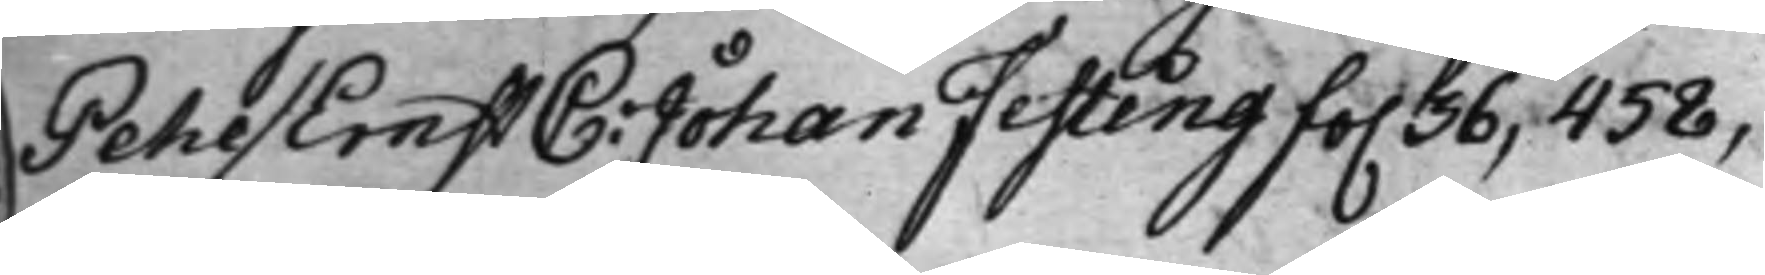Pehl / Ernst C: Johan Festing fo. 36, 458,
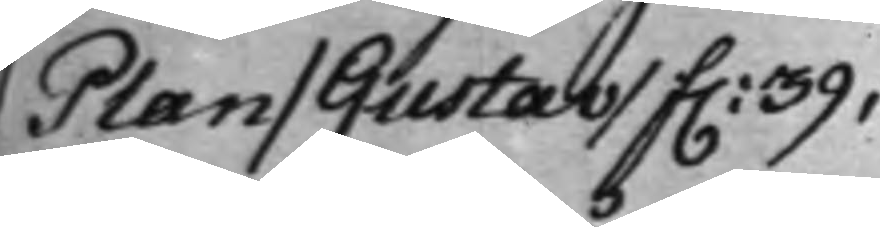Plan / Gustav / f. 39,
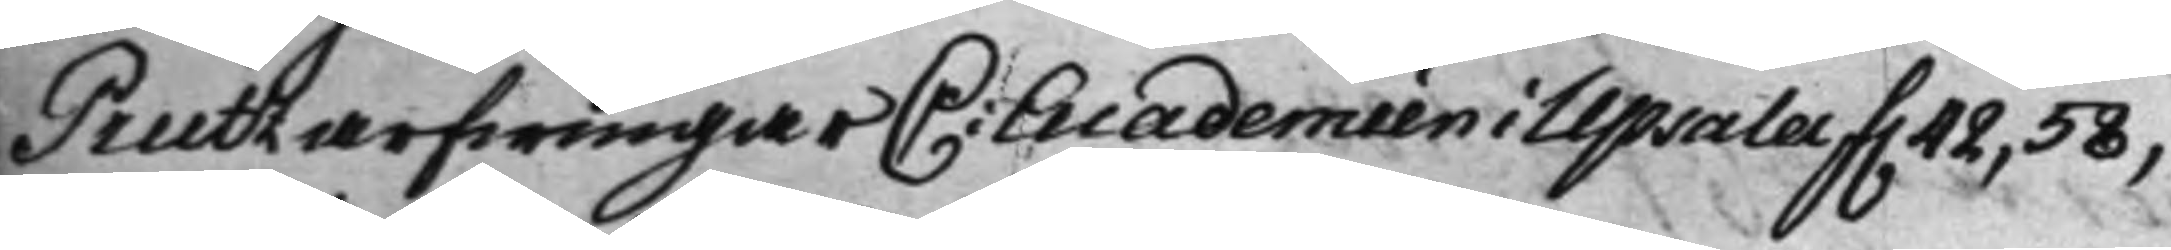Preutz arfwingar C: Academien i Upsala f. 42, 58,
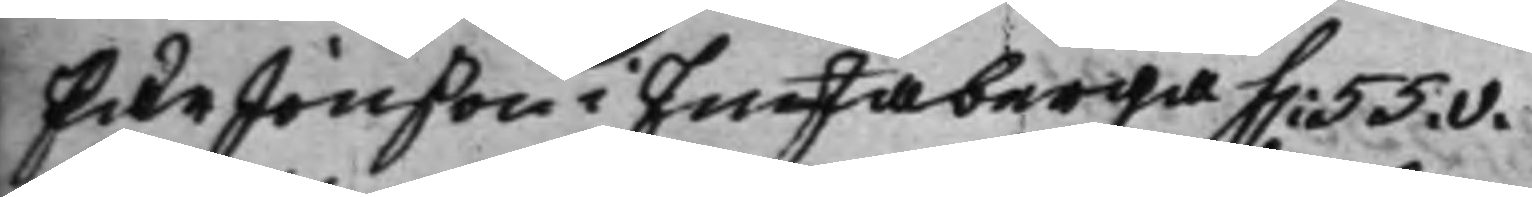Pär Jonßon i Enstaberga f. 55.v.
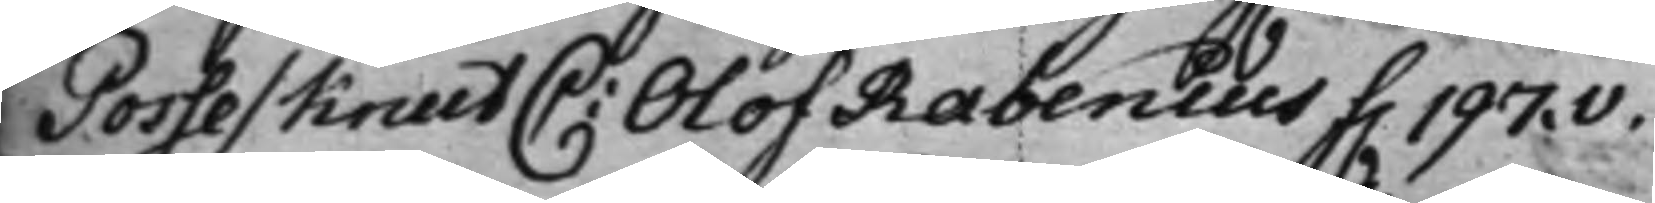Posse / Knut C: Olof Rabenius f. 197.v.
